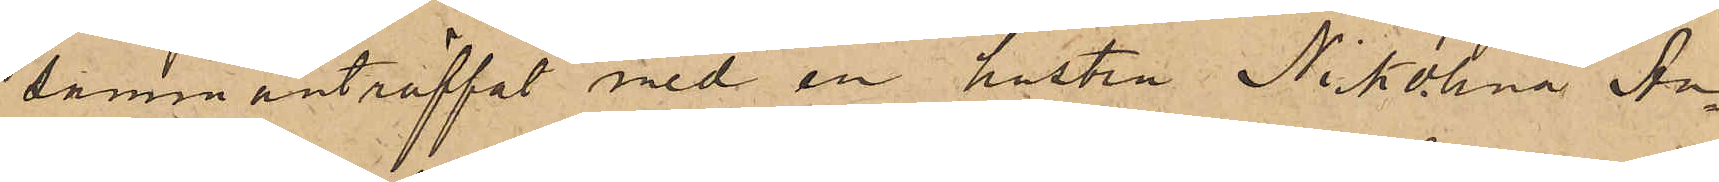sammanträffat med en hustru Nikolina An¬
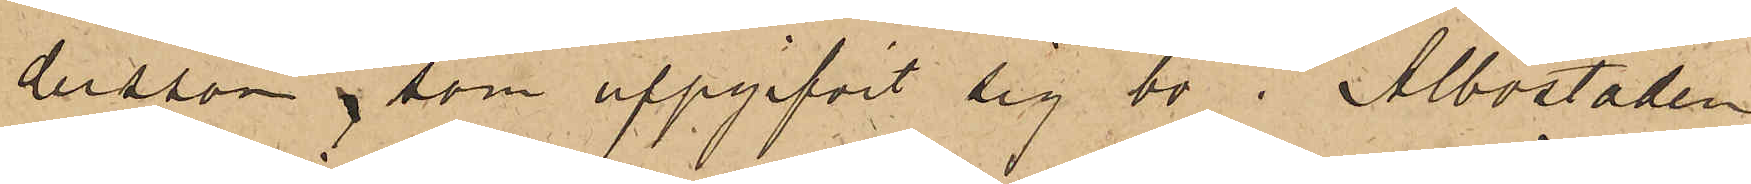dersson, som uppgifvit sig bo i Albostaden
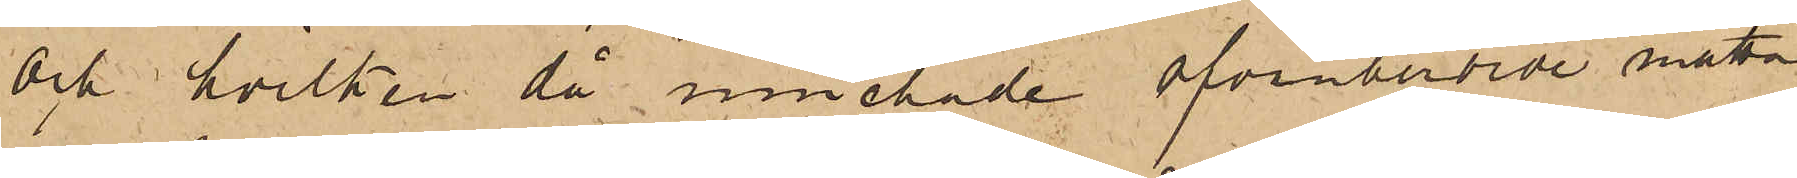och hvilken då innehade ofvanberörde matta
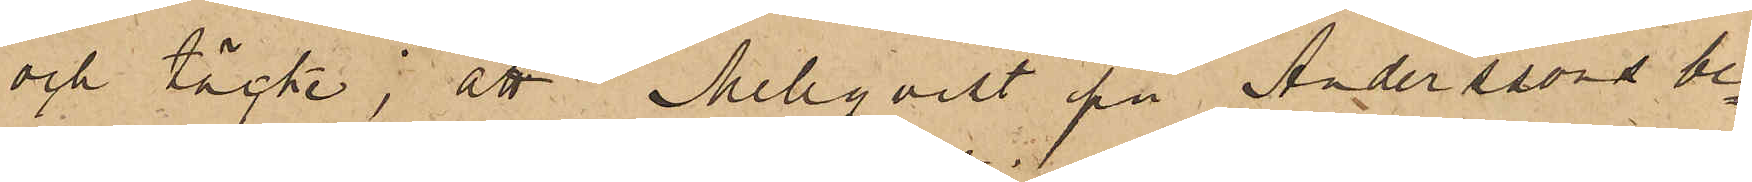och täcke; att Mellqvist på Anderssons be¬
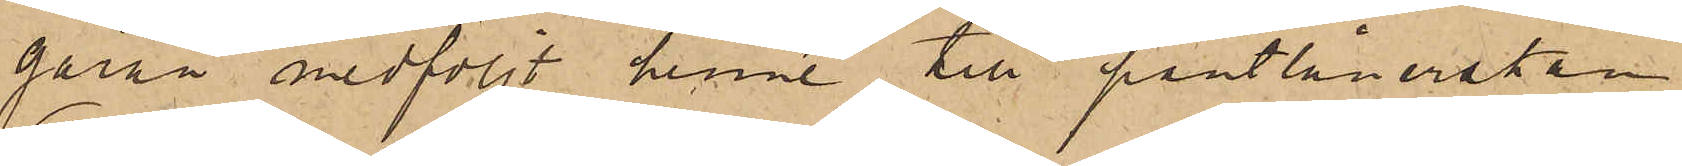gäran medföljt henne till pantlånerskan
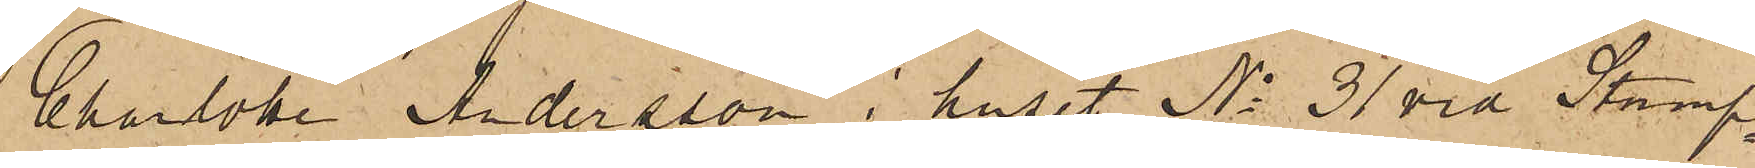Charlotte Andersson i huset No 31 vid Stamp¬
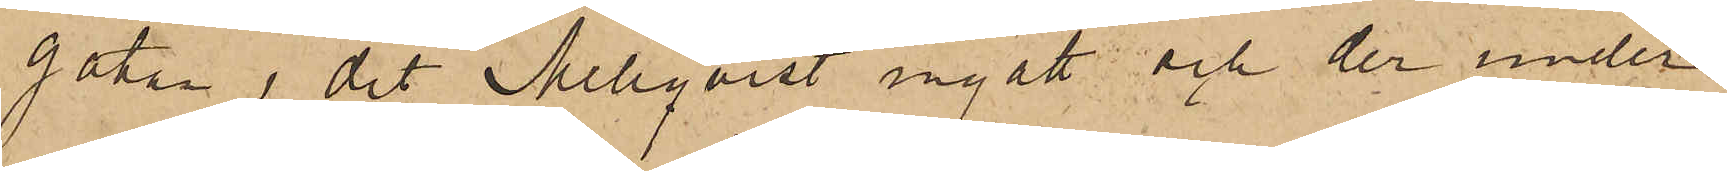gatan, dit Mellqvist ingått och der under
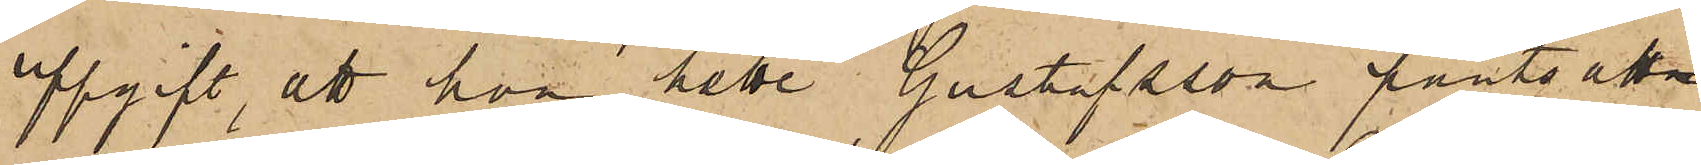uppgift, att hon hette Gustafsson pantsatt
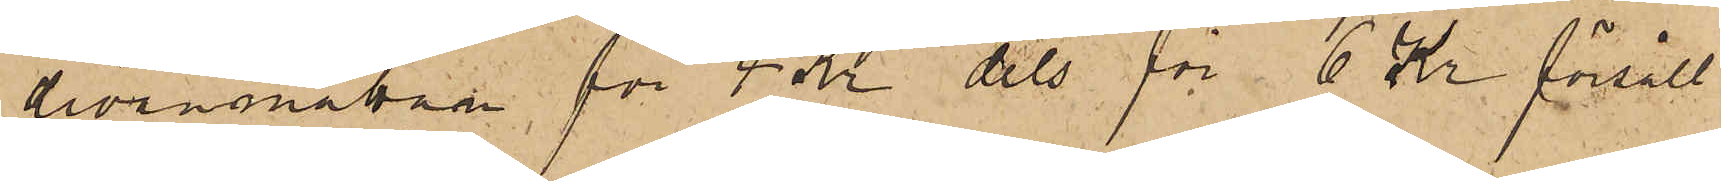divanmattan för 4 Kr dels för 6 Kr försålt
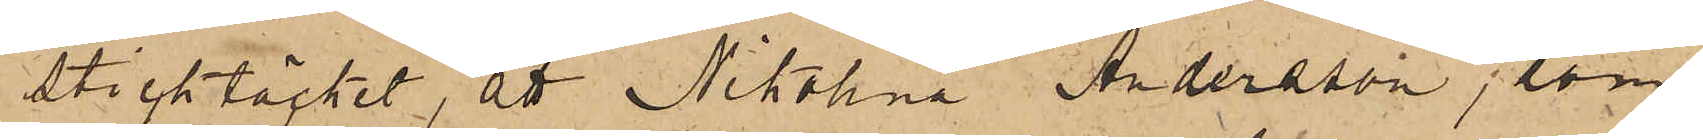sticktäcket, att Nikolina Andersson, som
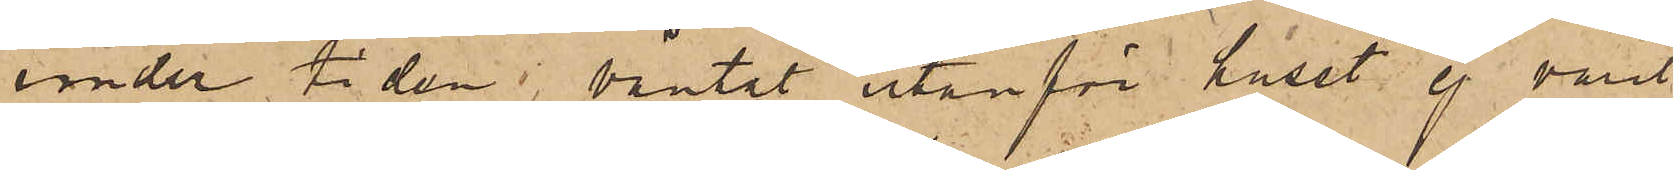under tiden väntat utanför huset ej varit
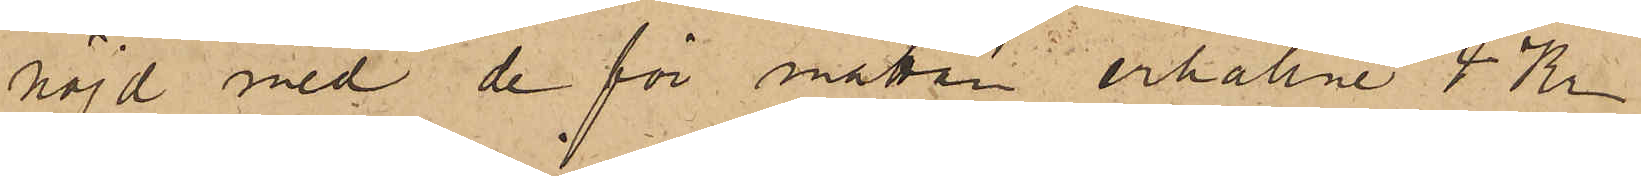nöjd med de för mattan erhållne 4 Kr
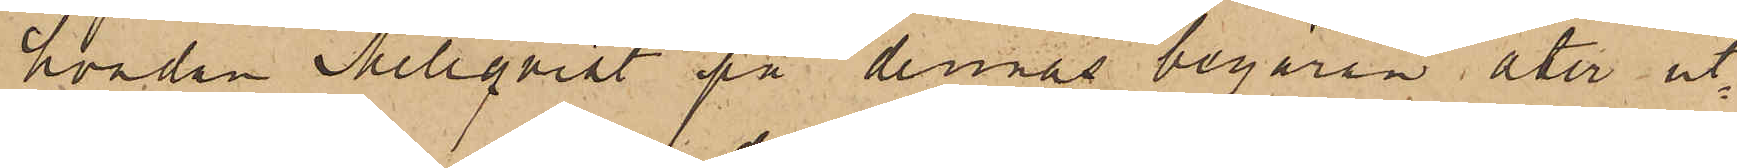hvadan Mellqvist på dennas begäran åter ut¬
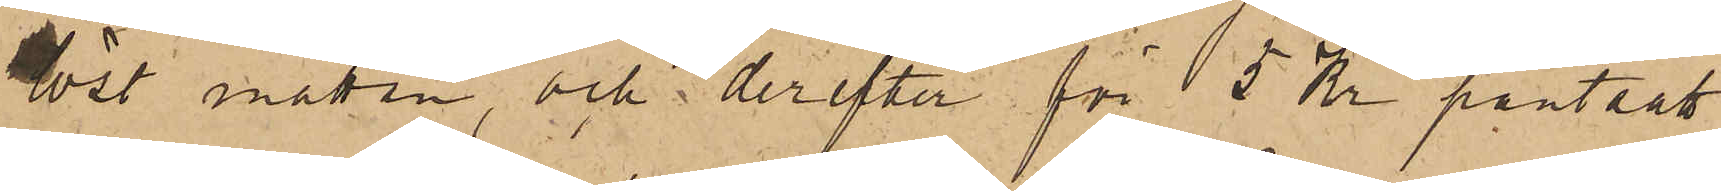löst mattan, och derefter för 5 Kr pantsatt
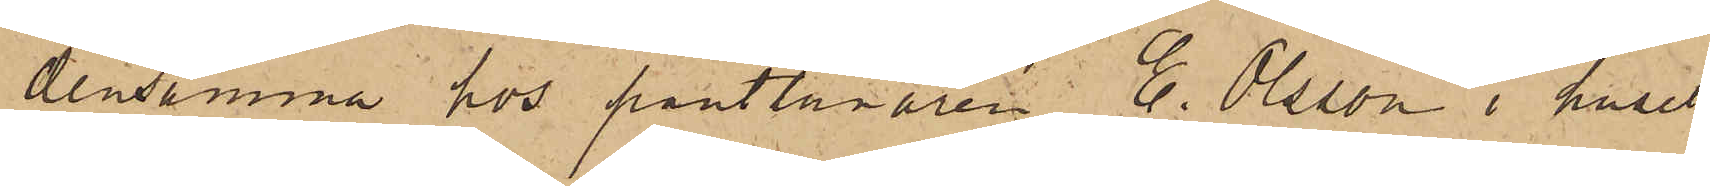densamma hos pantlånaren E. Olsson i huset
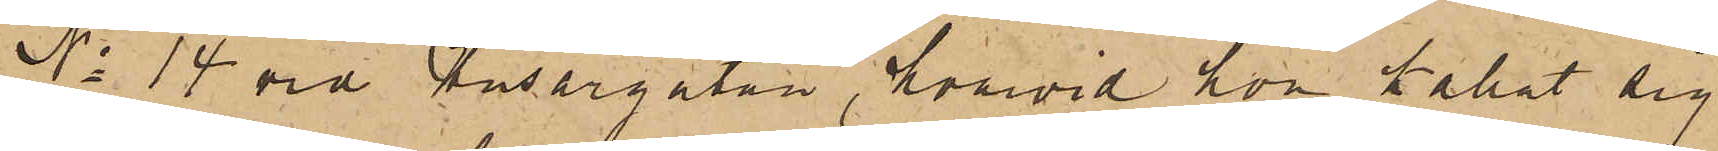No 14 vid Husargatan, hvarvid hon kallat sig
